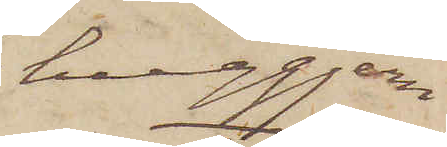huggjern
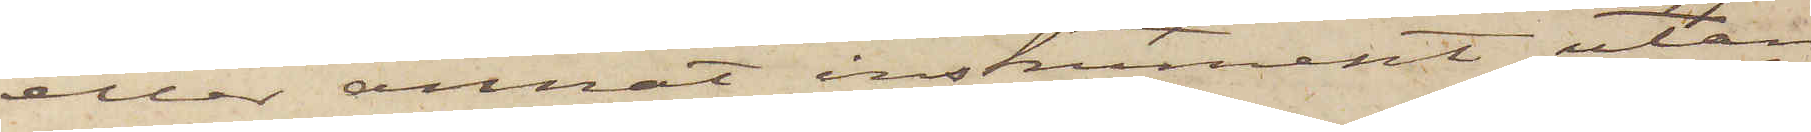eller annat instrument utan
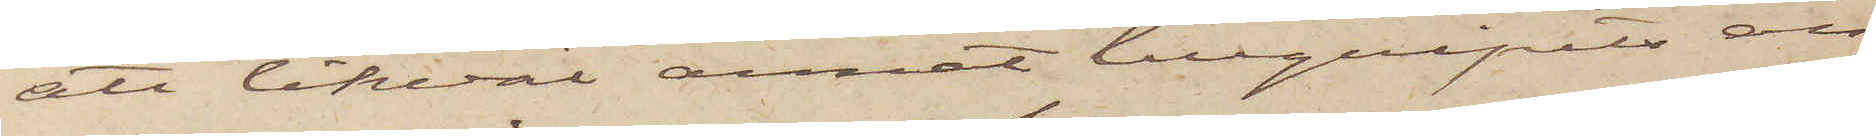att likväl annat tillgripits en
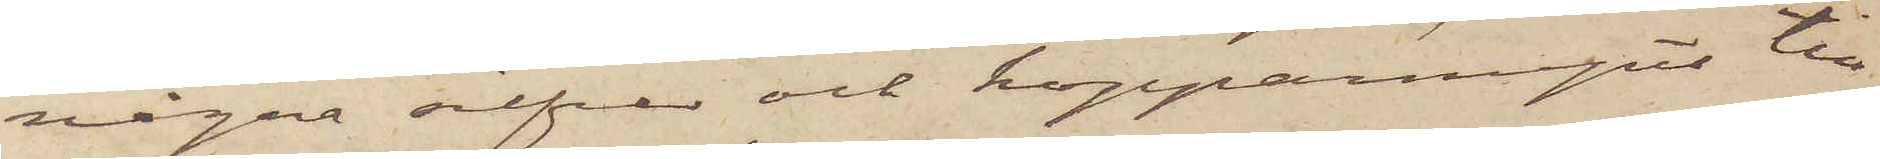några silfver och kopparmynt till
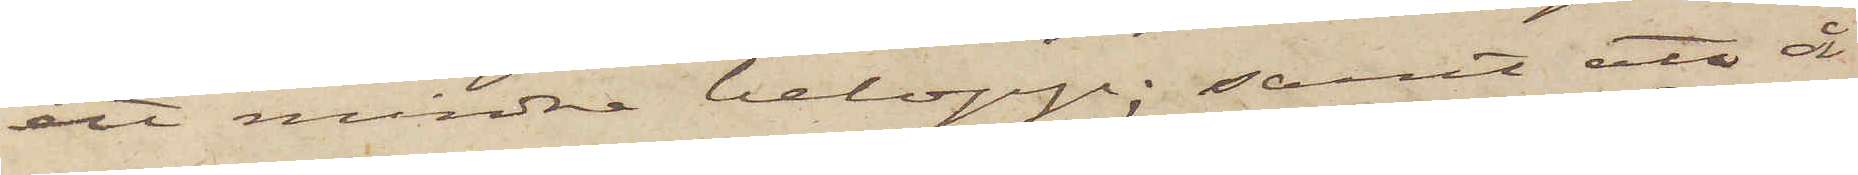ett mindre belopp; samt att å
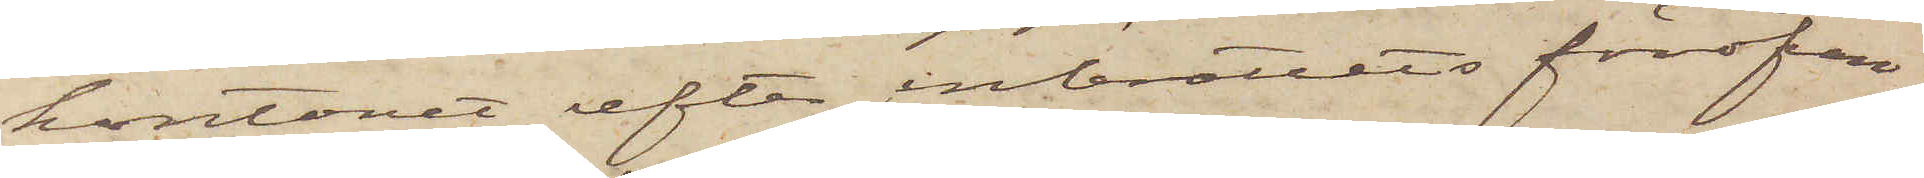kontoret efter inbrottets föröfvan¬
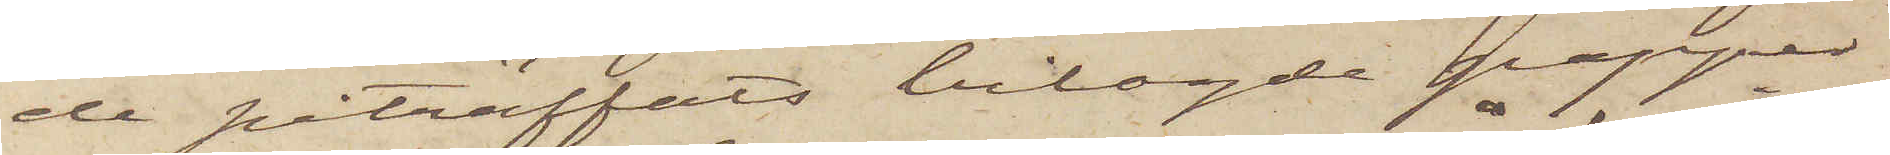de påträffats bilagde papper
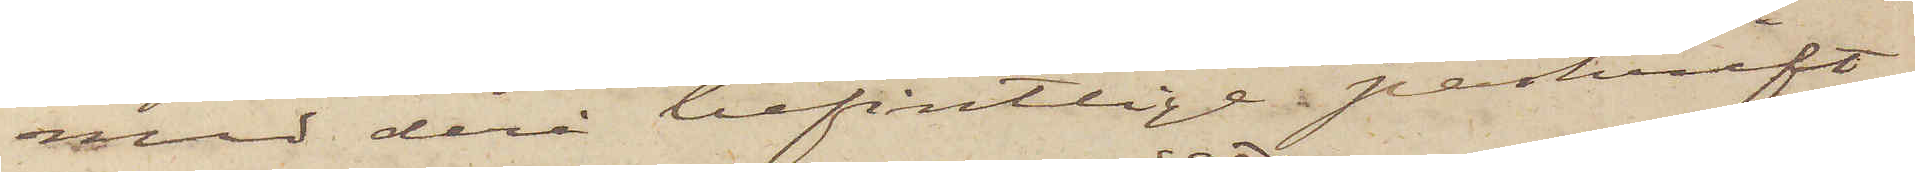med derå befintlige påskrift.
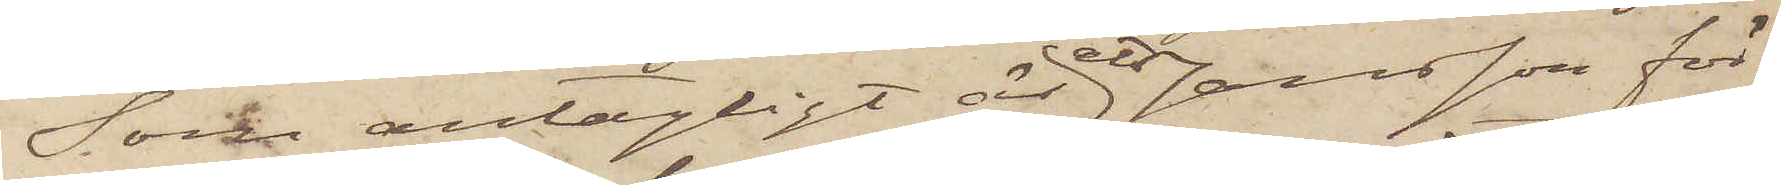Som antagligt är att Jansson för¬
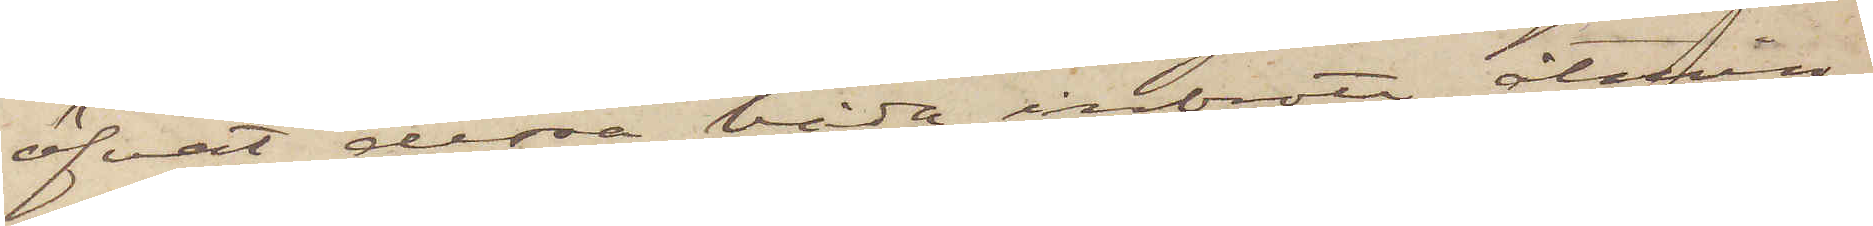öfvat dessa båda inbrott, åtmin¬
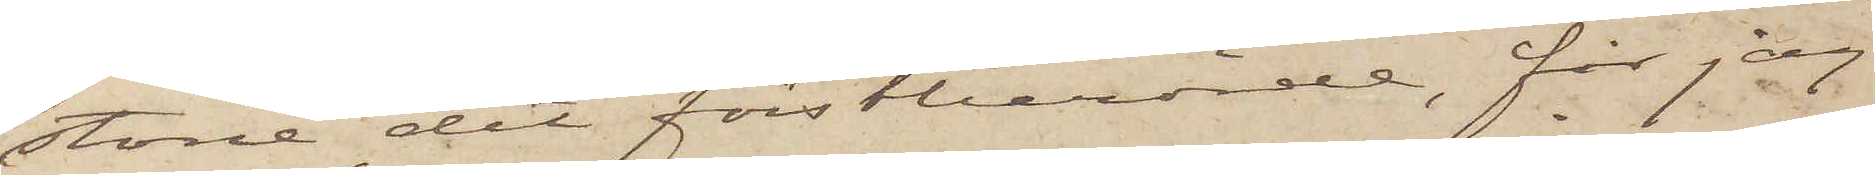stone det förstberörde, får jag
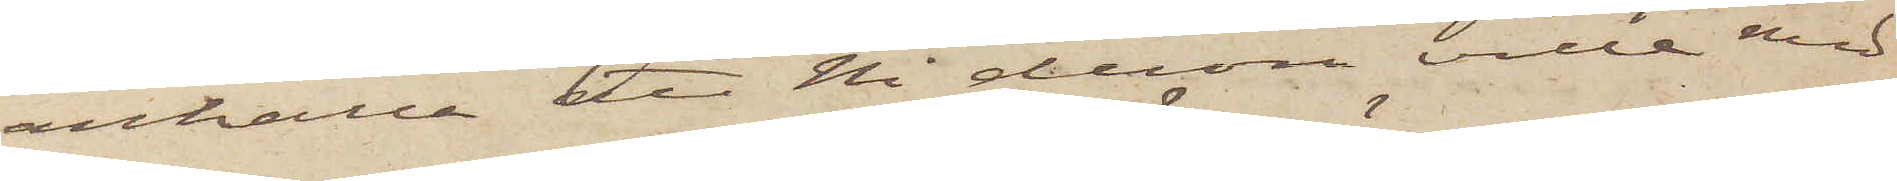anhålla att ni derom ville med
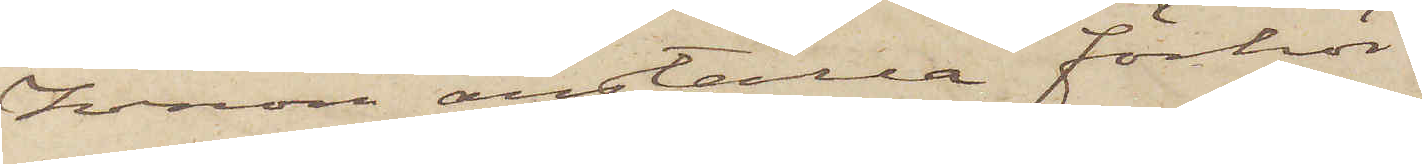honom anställa förhör.
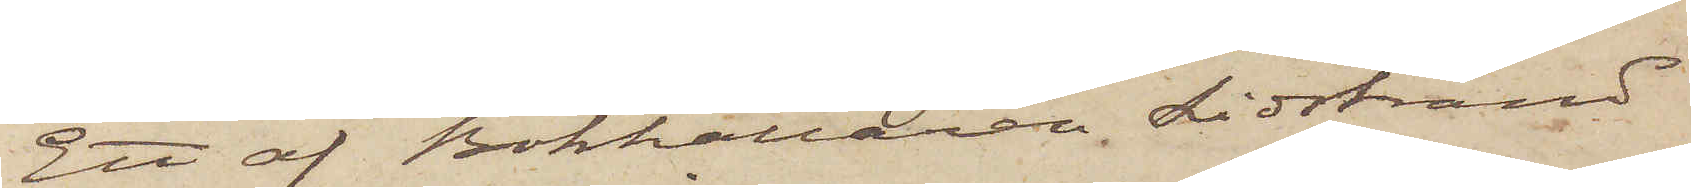Ett af Bokhållaren Lidstrand
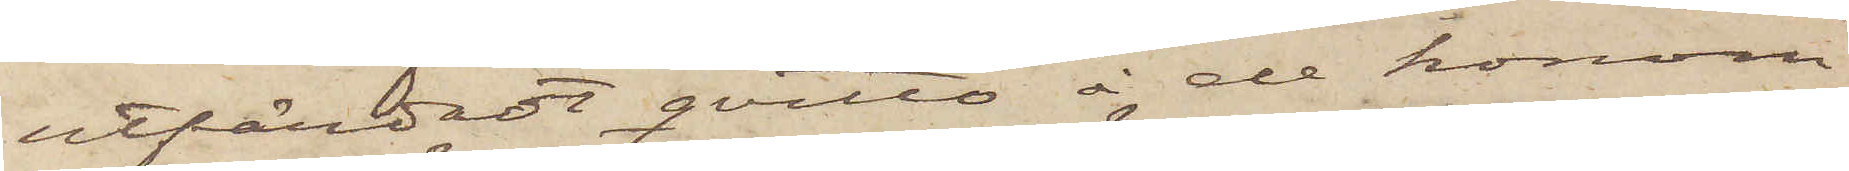utfärdadt qvitto å de honom
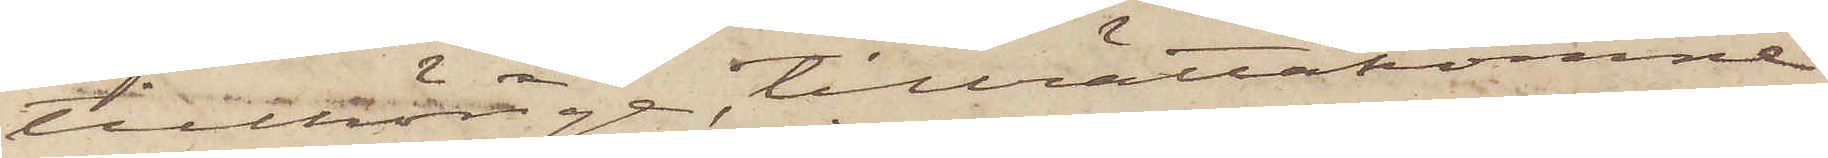tillhörige, tillrättakomne
